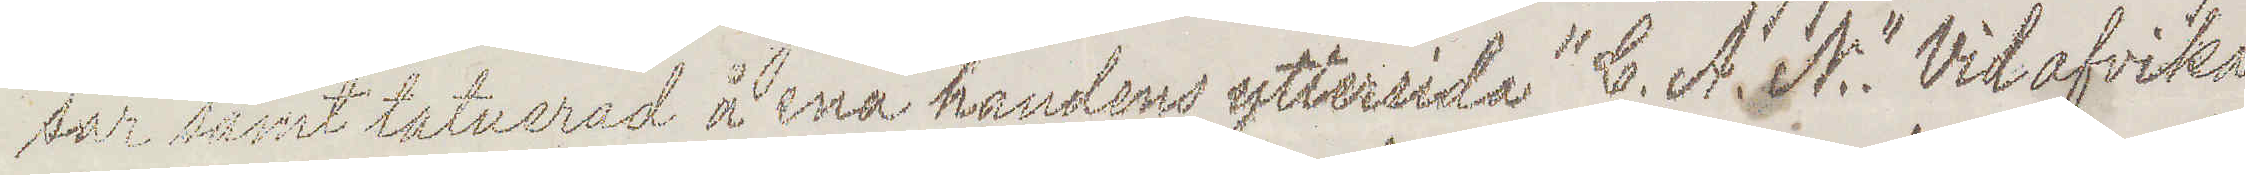sar samt tatuerad å ena handens yttersida "C. A. N." Vid afvika¬
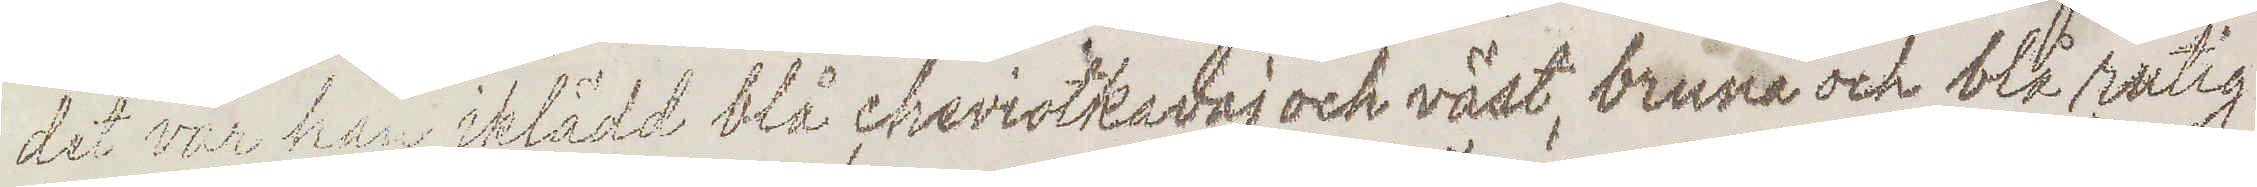det var han iklädd blå cheviotkavaj och väst, bruna och blå rutig
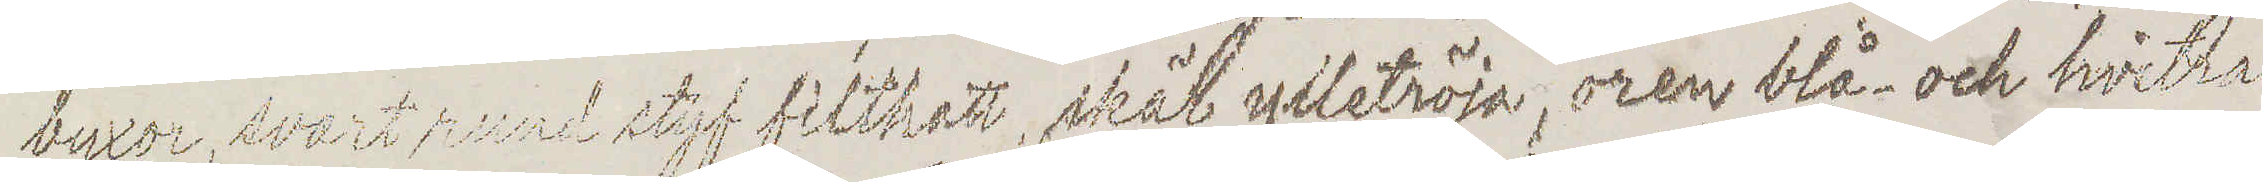byxor, svart rund styf filthatt, skär ylletröja, oren blå och hvitra¬
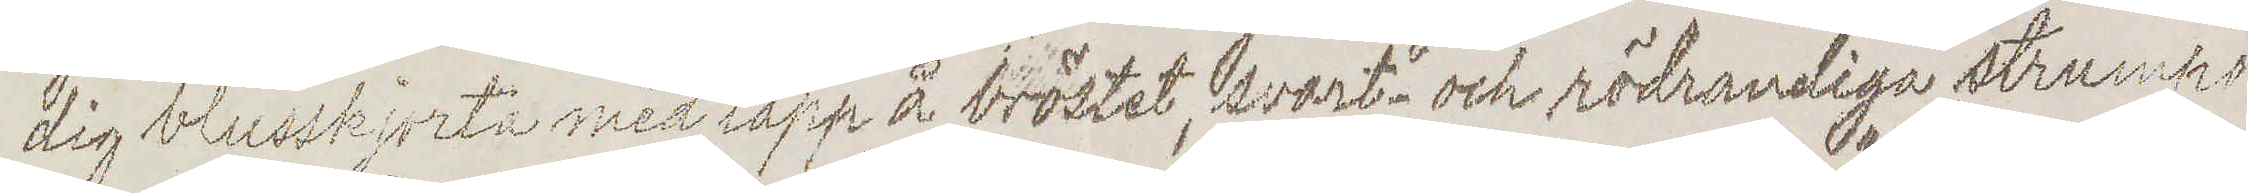dig blusskjorta med lapp å bröstet, svart och rödrandiga strumpo
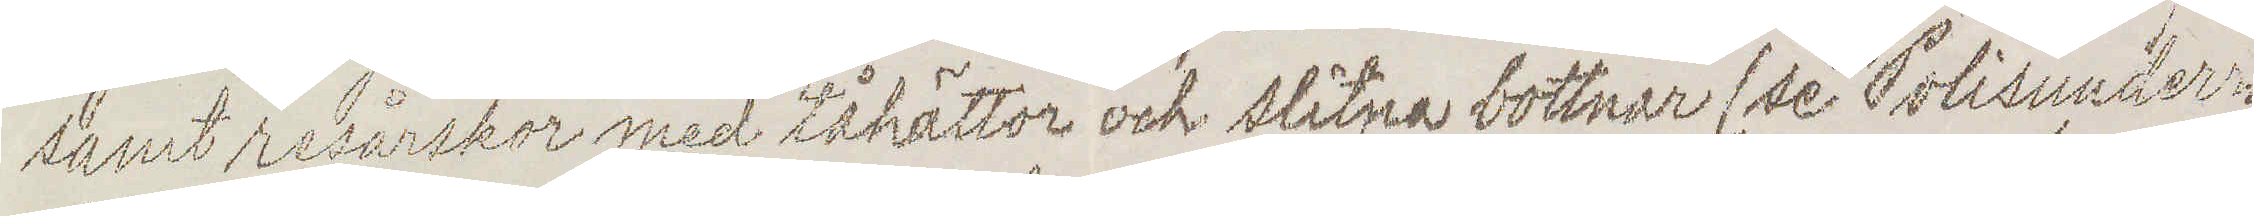samt resårskor med tåhättor och slitna bottnar (se "Polisunder¬
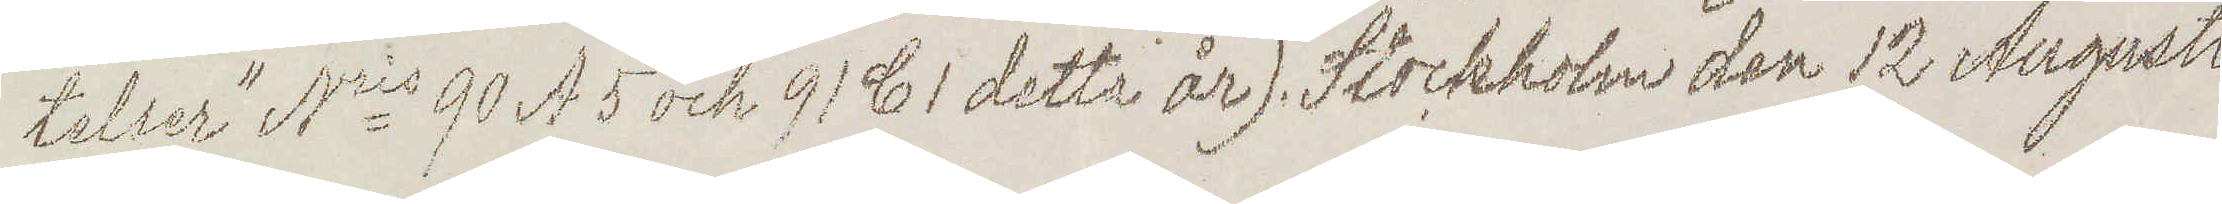telser" Nris 90 A 5 och 91 C 1 detta år). Stockholm den 12 Augusti
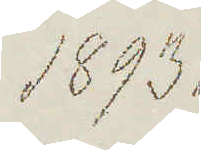1893.
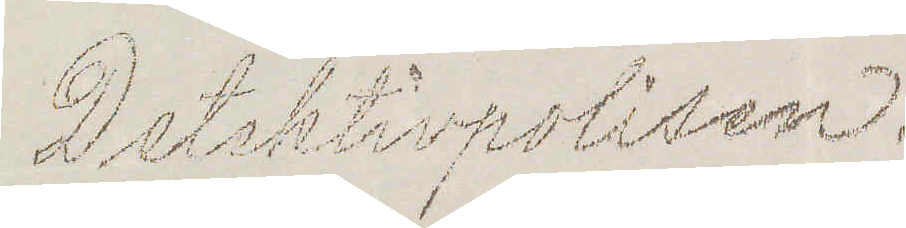Detektivpolisen.
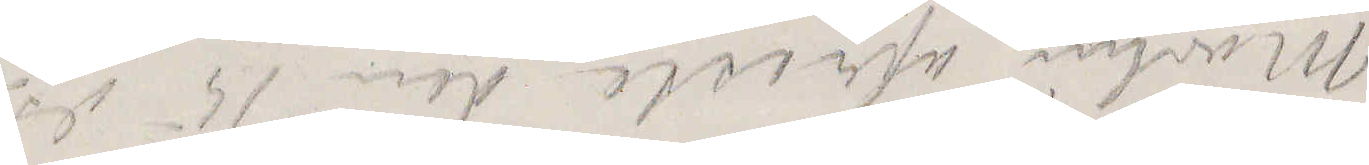Mörlin afreste den 15 ds
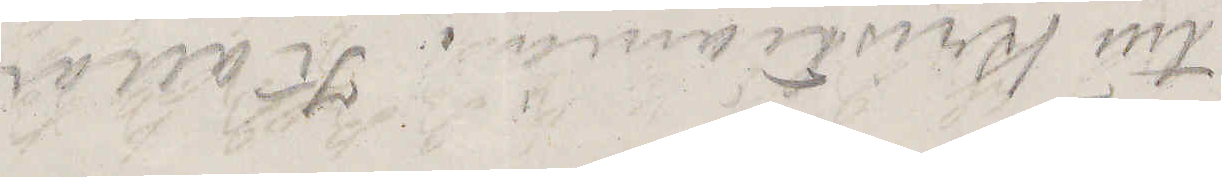till Kristiania. Kallar
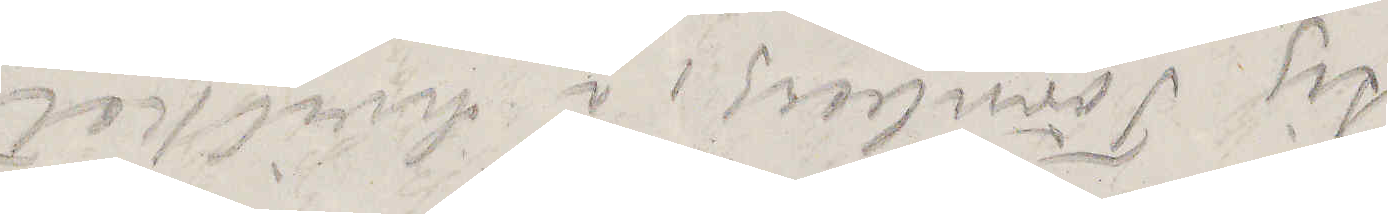sig Törnberg, i hvilket
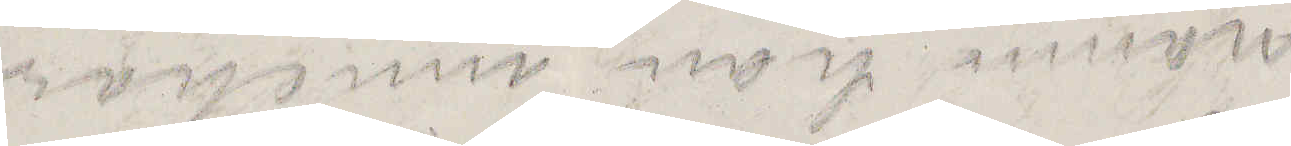namn han innehar
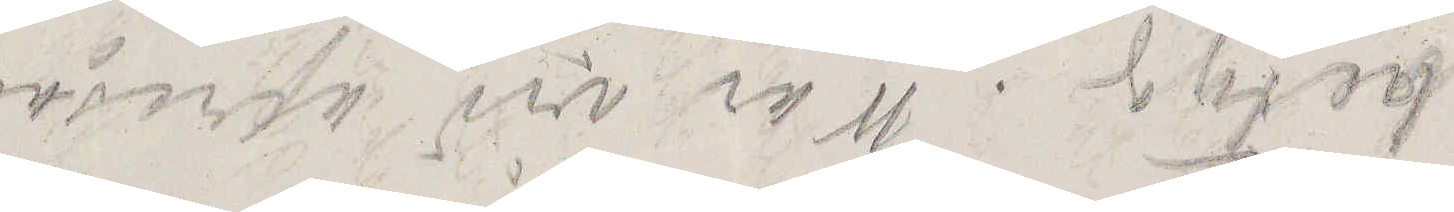betyg. War vid afresan
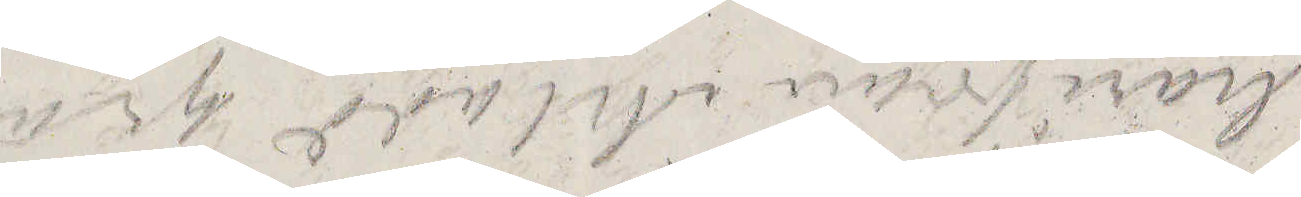härifrån iklädd grå
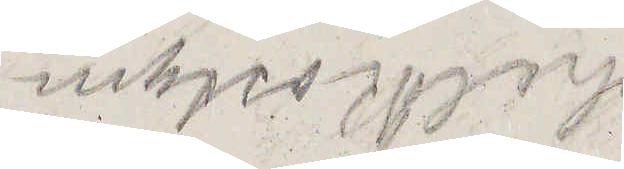helkostym.
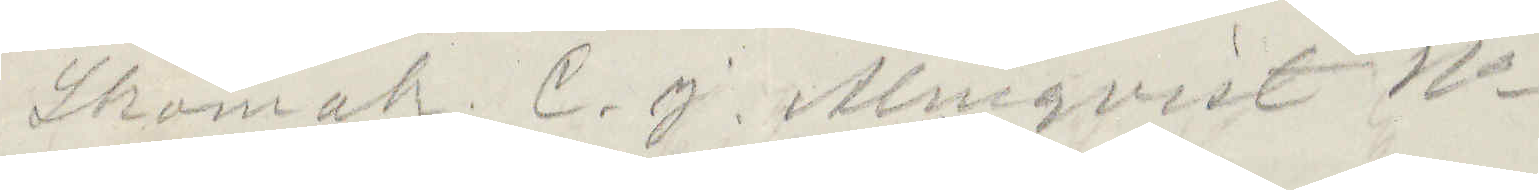Skomak. C. J. Ahlqvist No
